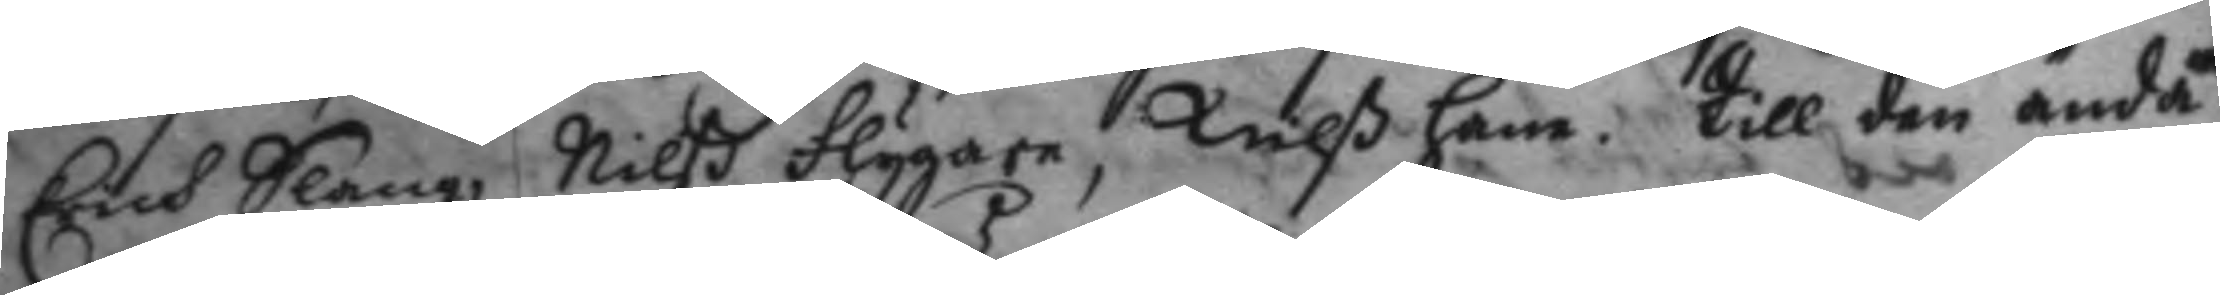Erich Slang, Nilß Flygare, Nilß Ham, Till den ända
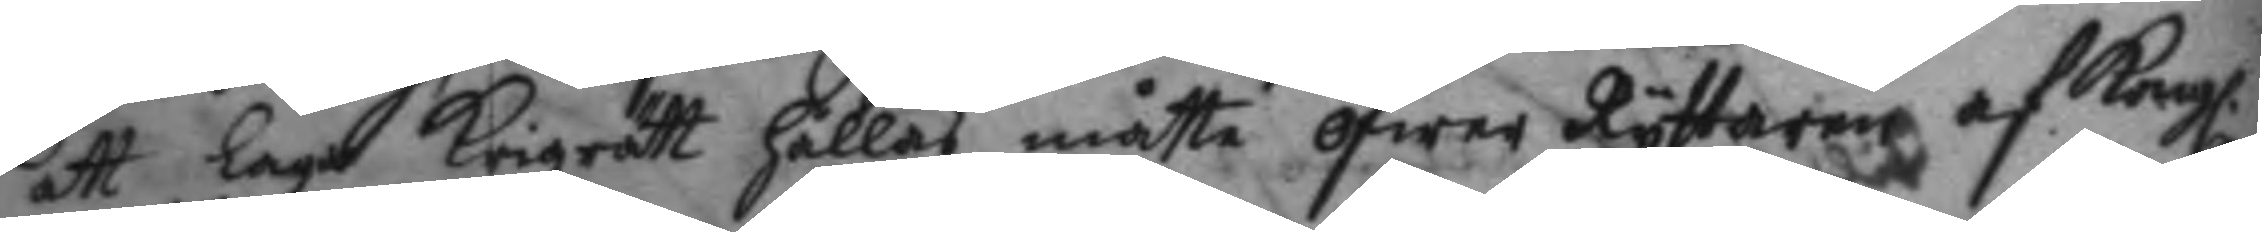att laga Krigzrätt hållas måtte öfwer Ryttaren af Kongl.
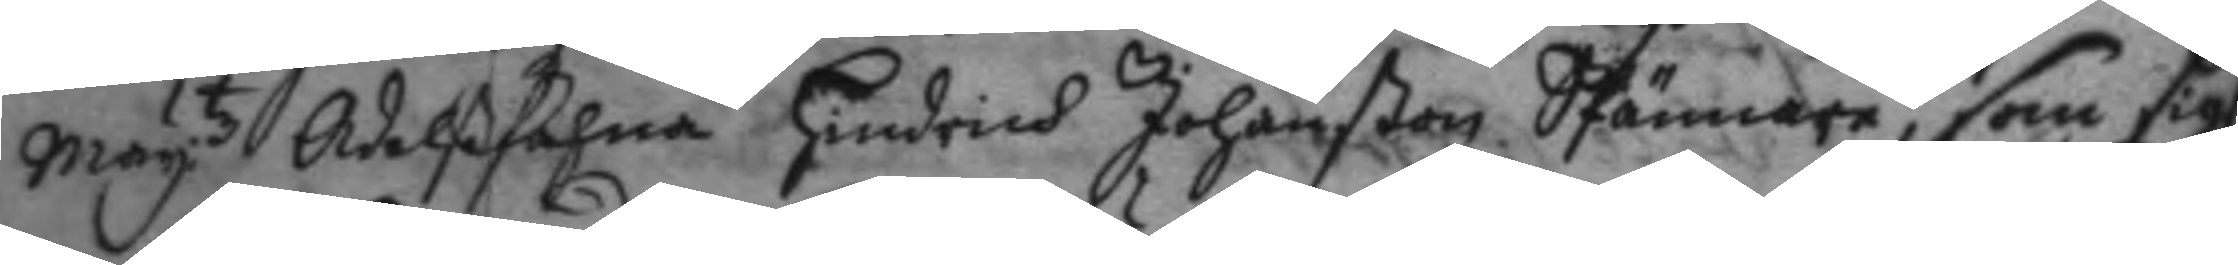May:tz Adelßfahna Hindrich Johanßon SPännare, som sigh
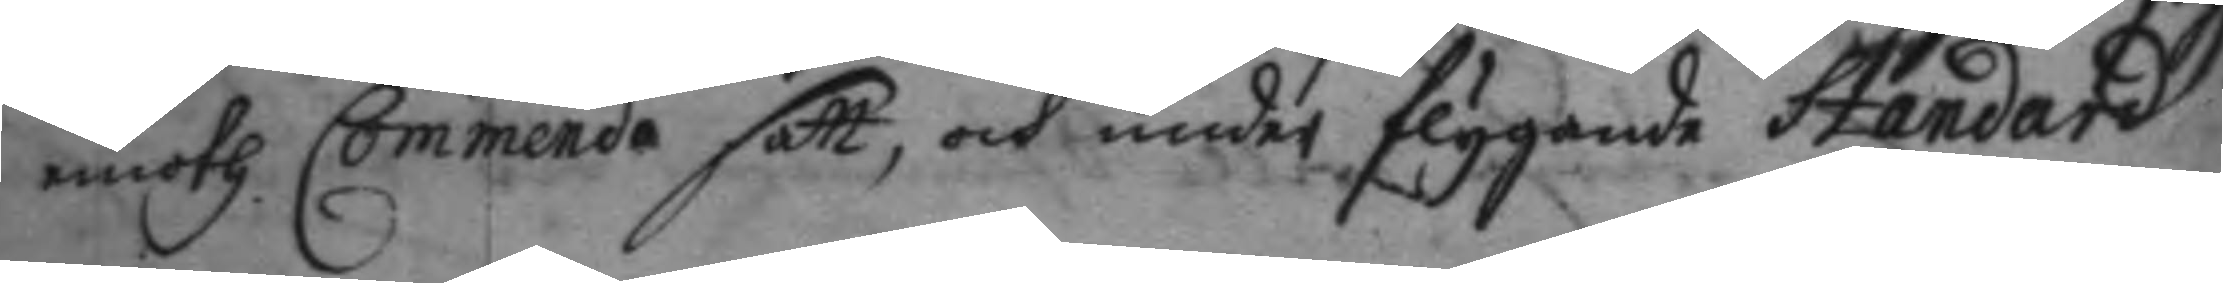emoth Commendo satt, och under flygande Standard
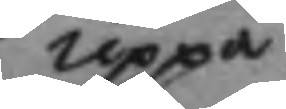uppå
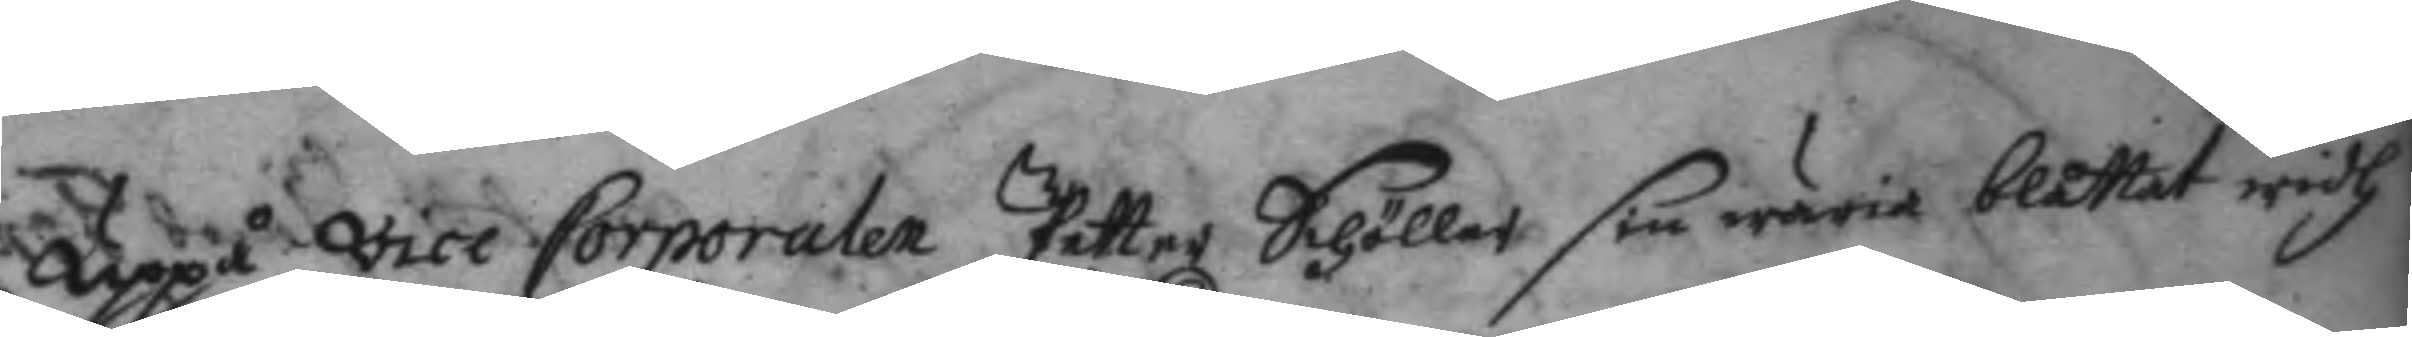uppå vice Corporalen Petter Schöller sin wäria blåttat widh
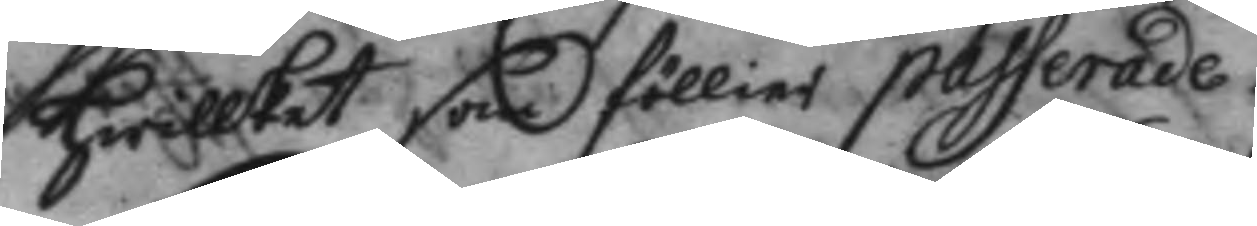hwilket som föllier passerade.
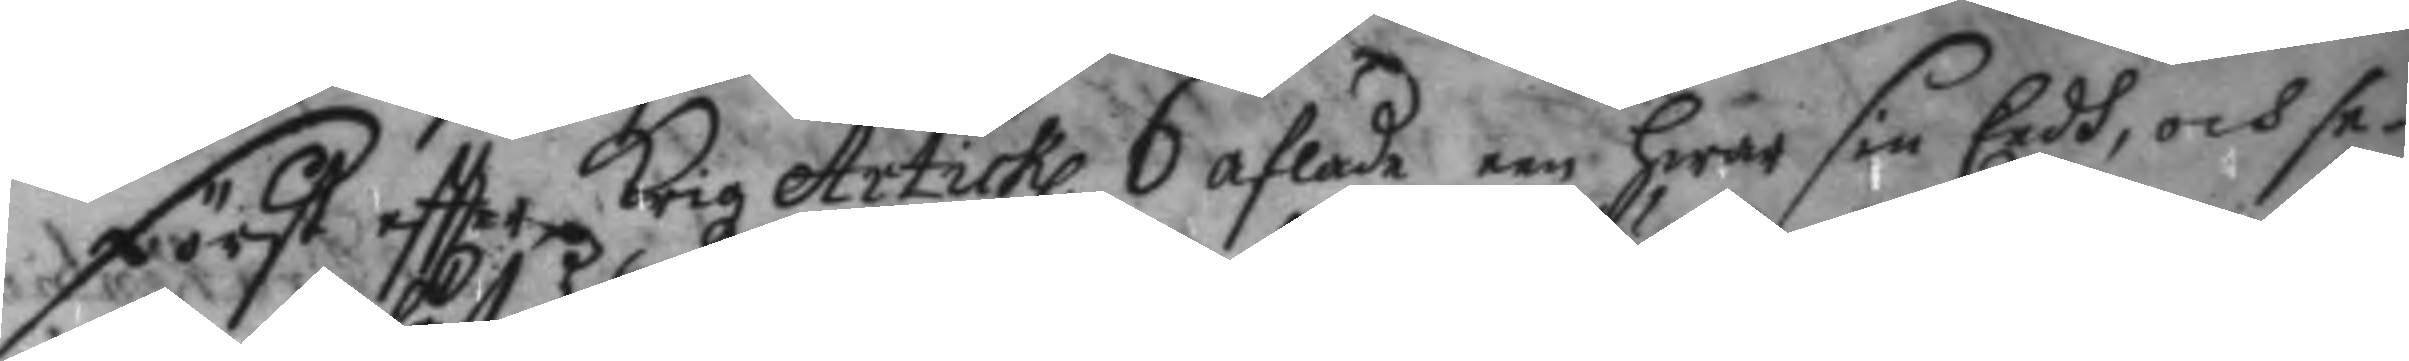Först eftter Krigz Artickl. 6 aflade om hwar sin Eedh, och se¬
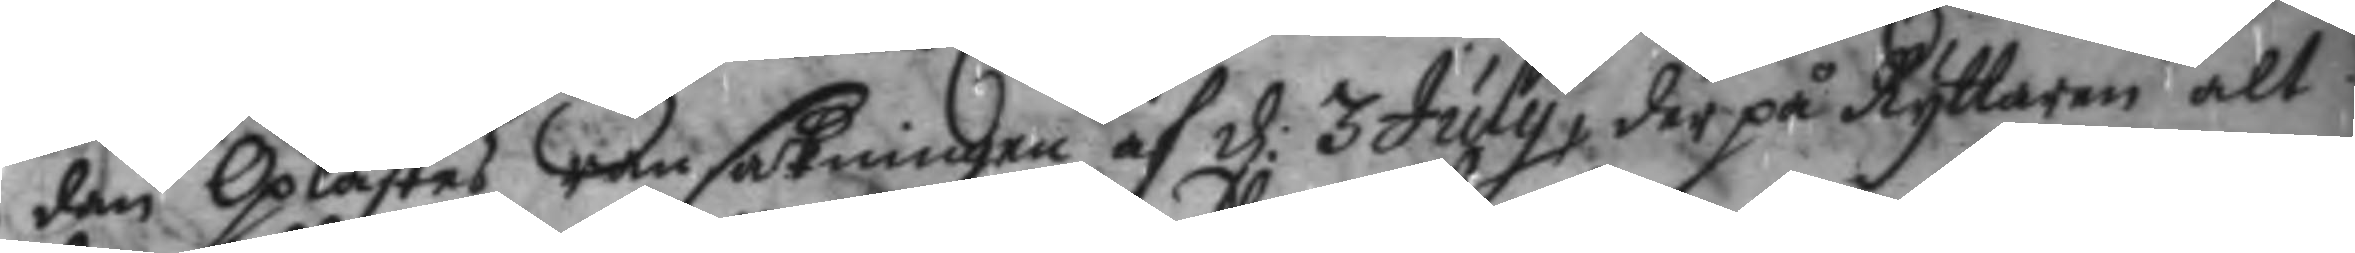dan Oplästes ransakningen af d: 3 July, der på Ryttaren alt
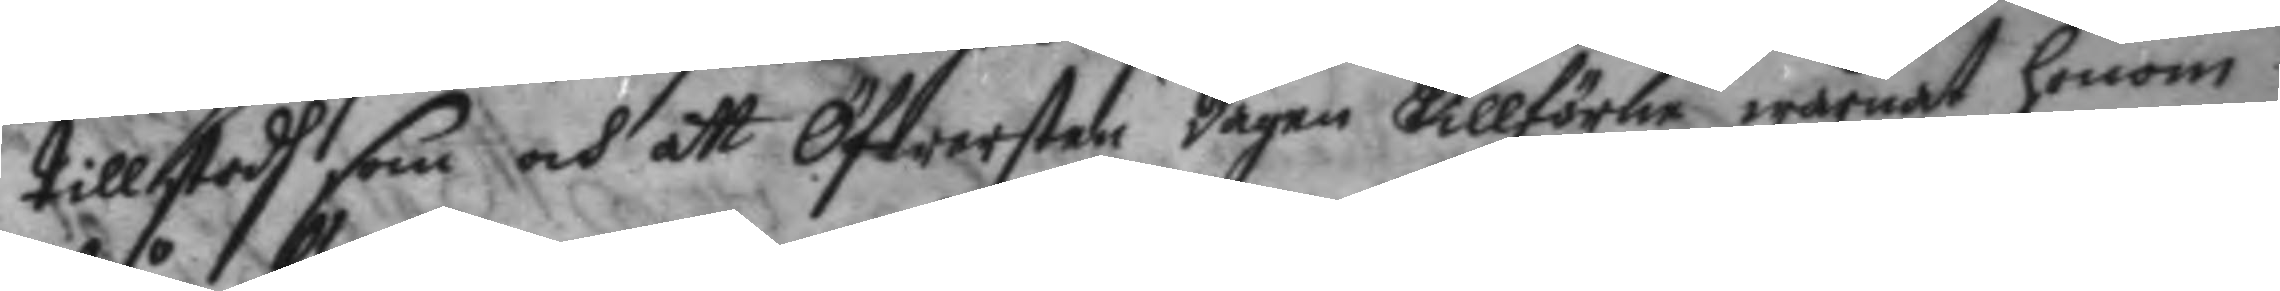tillstodh som och att Öfwersten dagen tillförne warnat honom
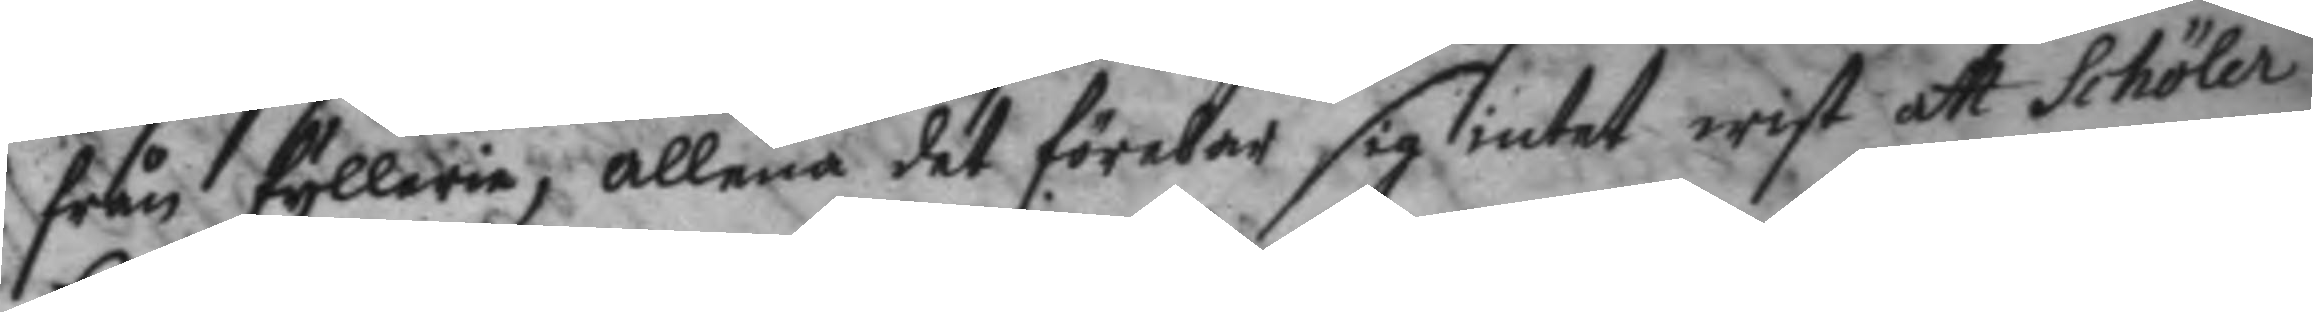från fyllerie, allena det förebar sig intet wist att Schöler
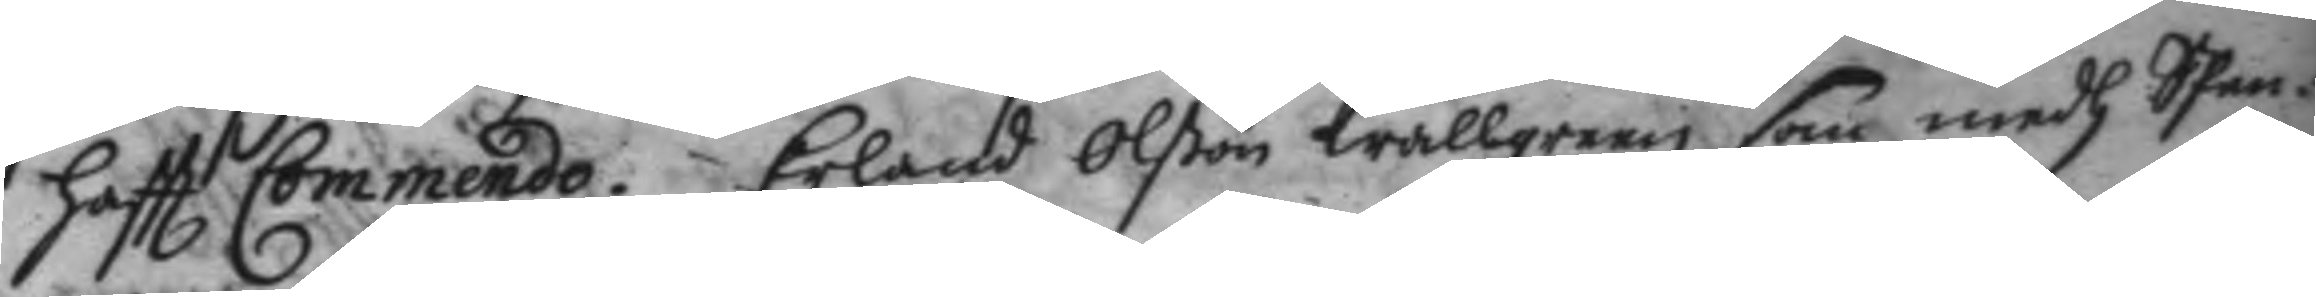haftt Commendo. Erland Olßon wallgren som medh Spen¬
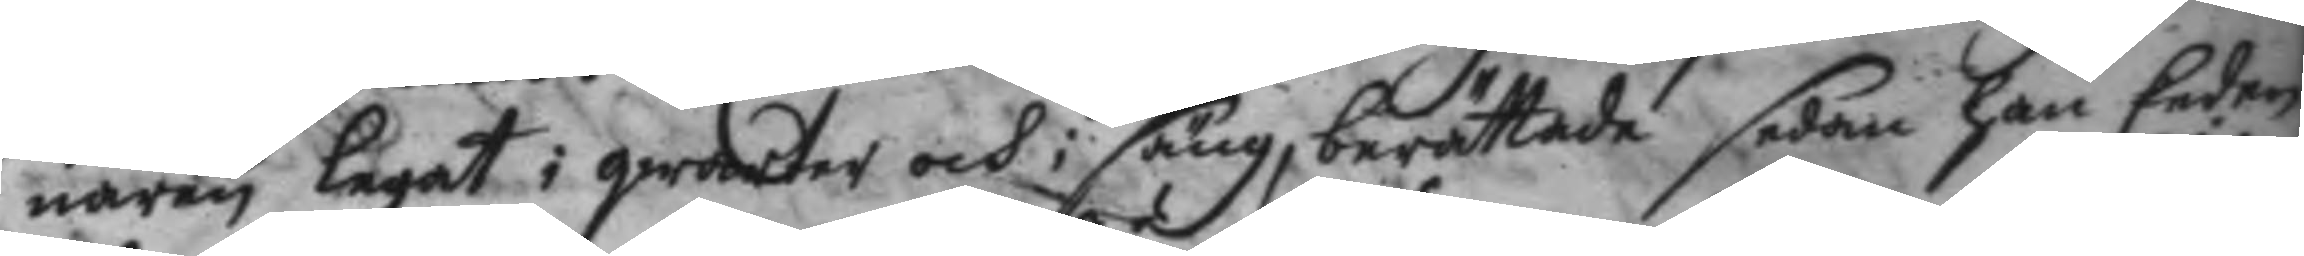naren legat i qwarter och i säng, berättade sedan han Eeden
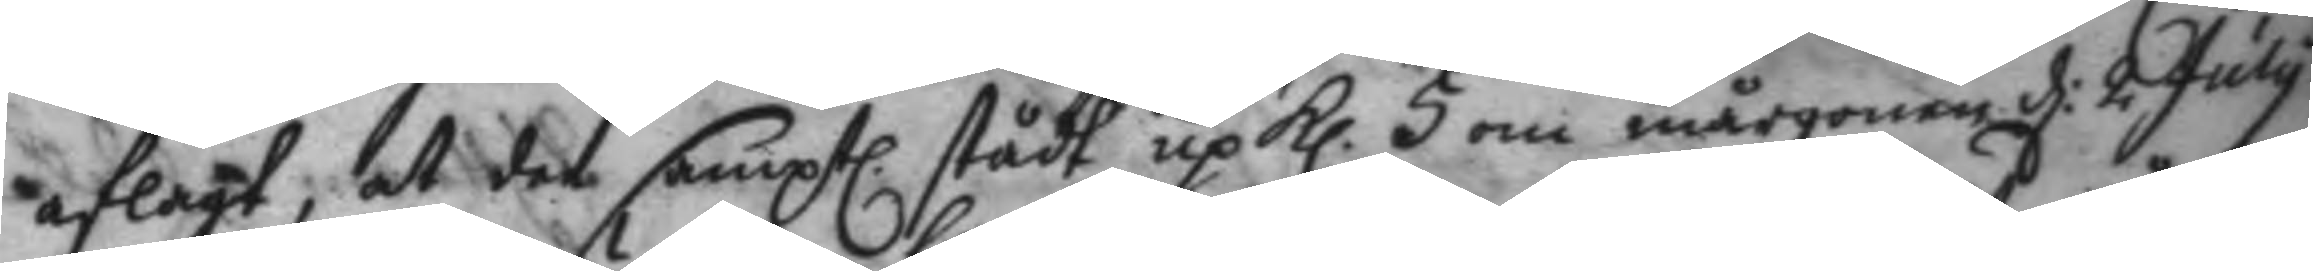aflagt, at dee samptl. stådt up kl. 5 om mårgonen d: 2 July
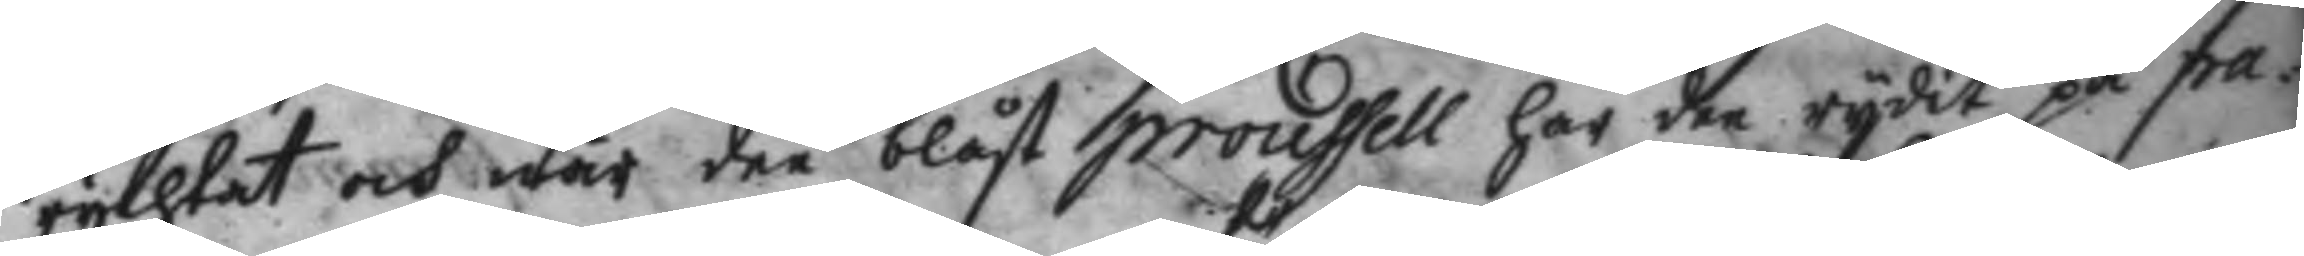rychtat och när dee blåst proussell har dee rydit på pa¬
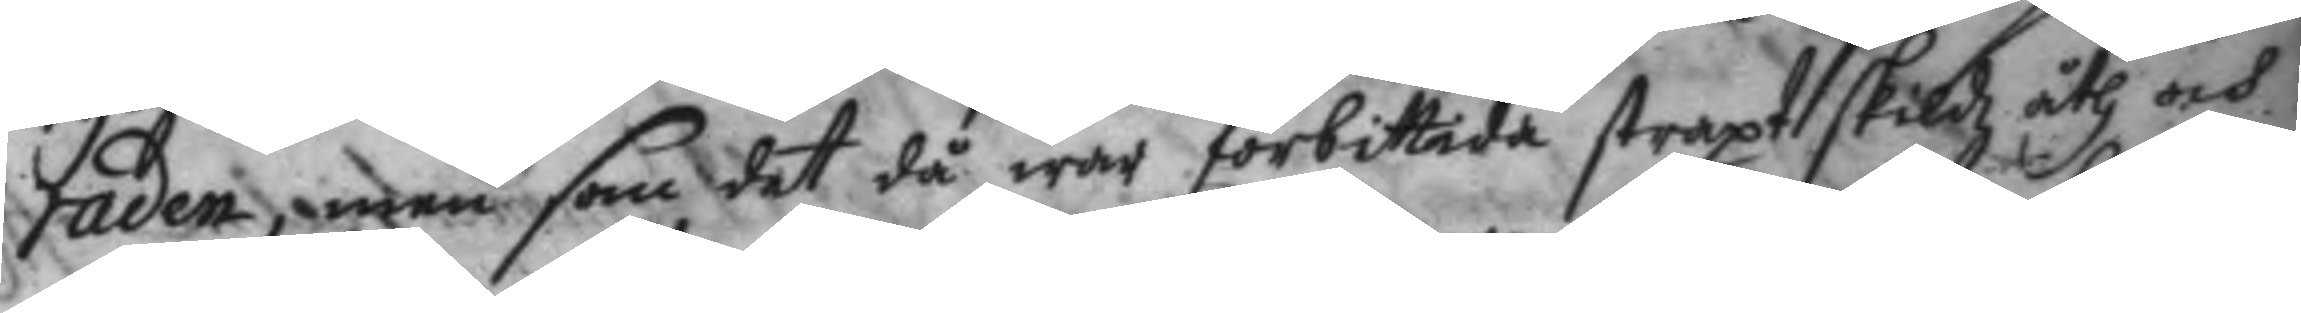raden, men som det då war förbittada straxt skildz åth och
